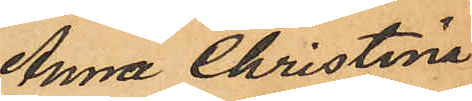Anna Christina
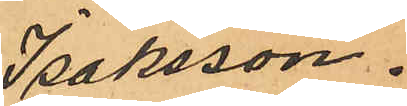Isaksson.
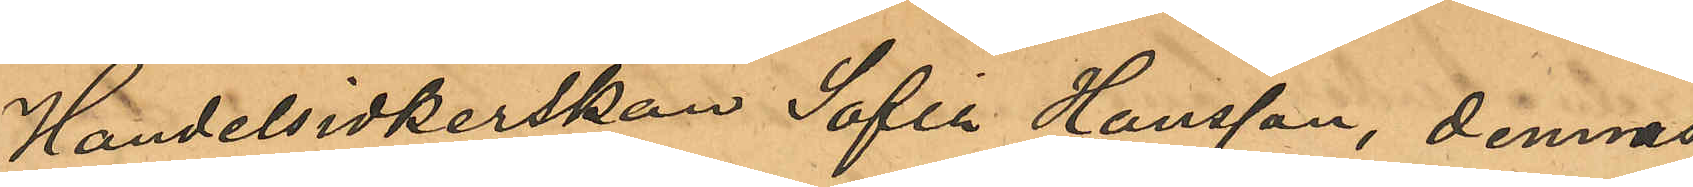Handelsidkerskan Sofia Hansson, dennas
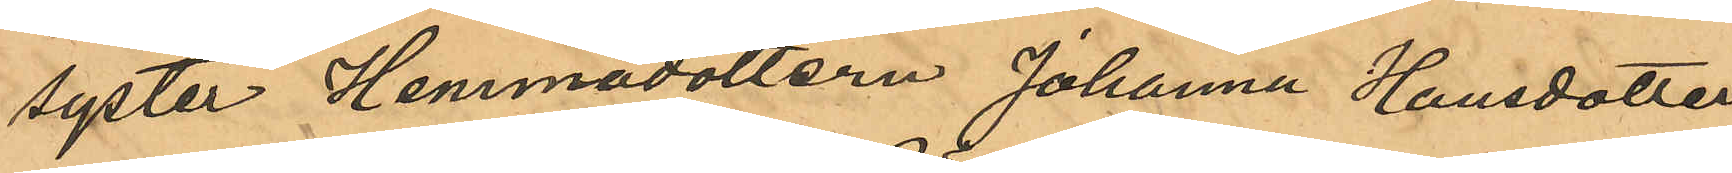syster, Hemmadottern Johanna Hansdotter
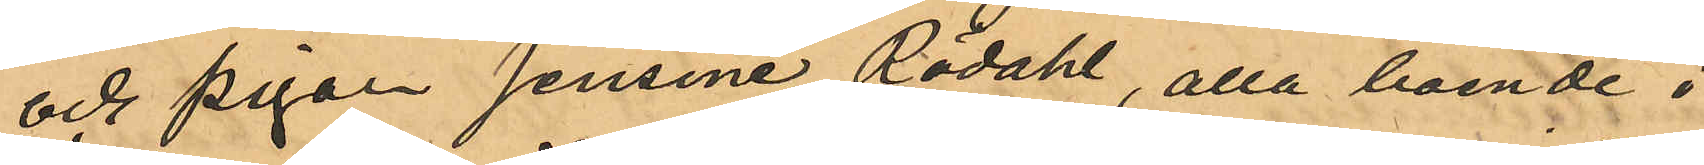och pigan Jensina Rödahl, alla boende i
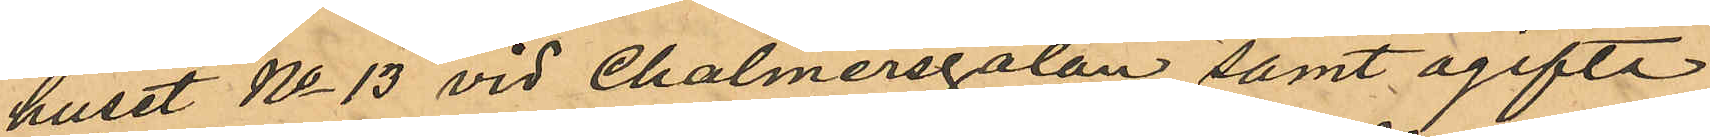huset No 13 vid Chalmersgatan samt ogifta
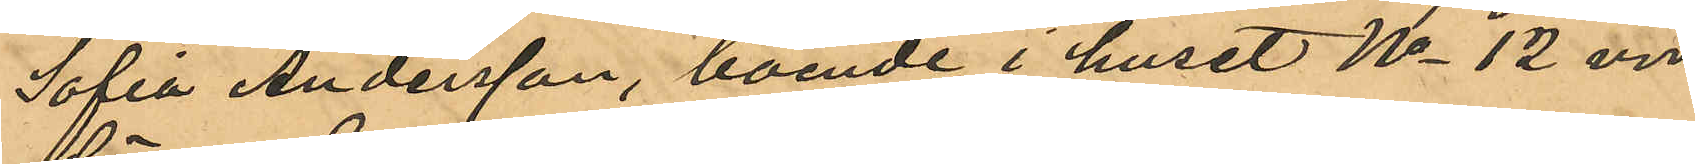Sofia Andersson, boende i huset No 12 vid
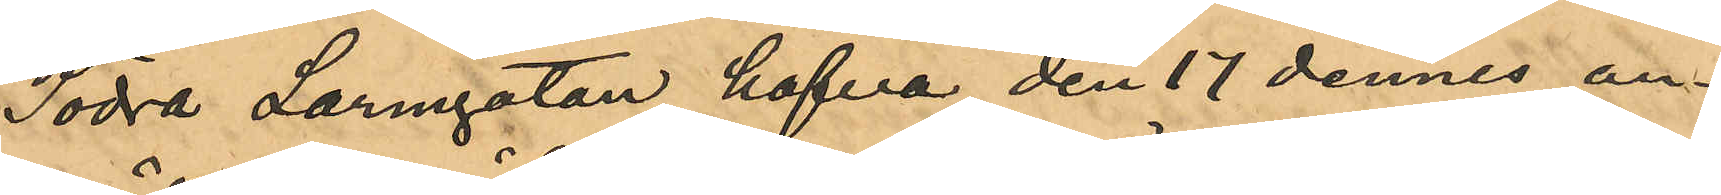Södra Larmgatan hafva den 17 dennes an¬
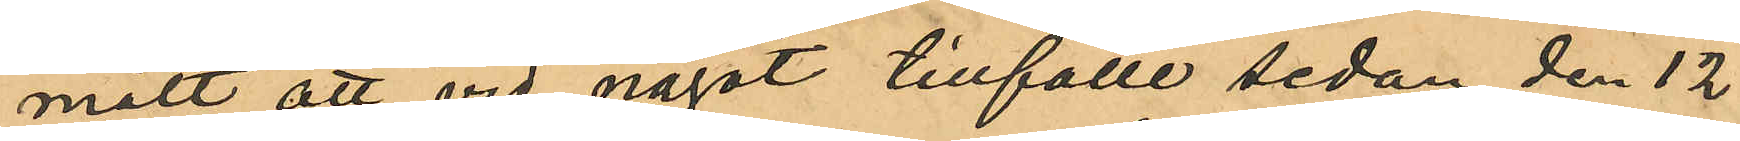mält att vid något tillfälle sedan den 12
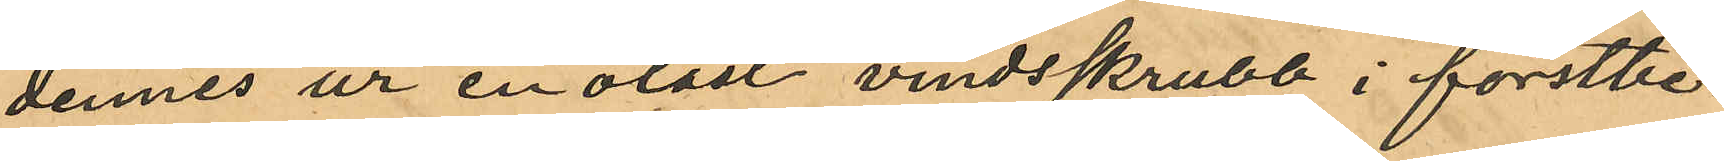dennes ur en olåst vindsskrubb i förstbe¬
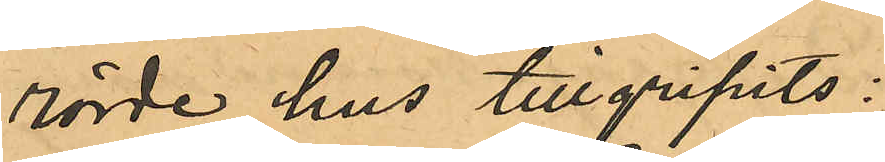rörde hus tillgripits:
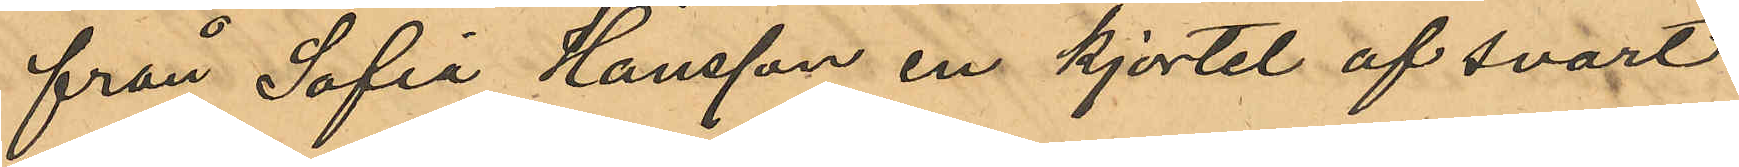från Sofia Hansson en kjortel af svart
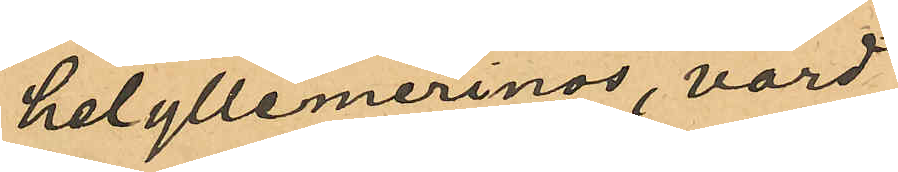helyllemerinos, värd
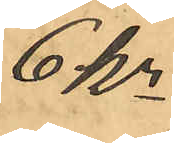6 kr
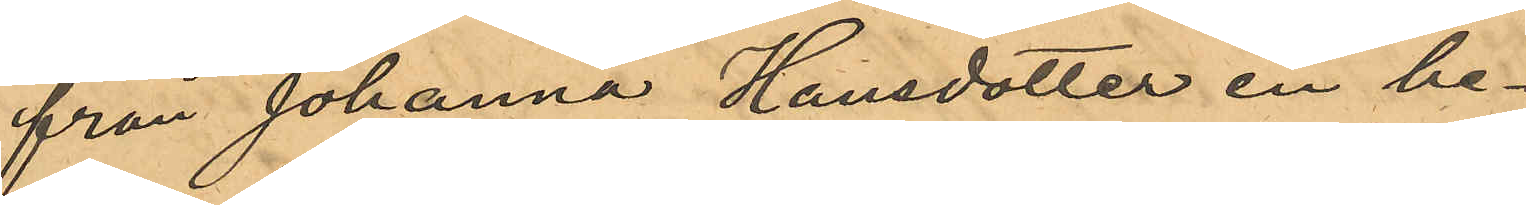från Johanna Hansdotter en be¬
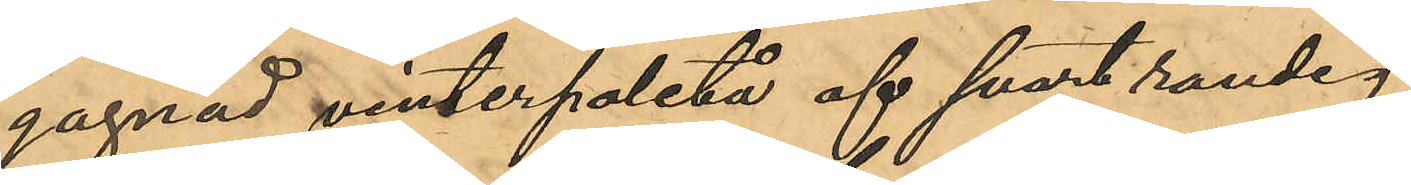gagnad vinterpaletå af svart randig
